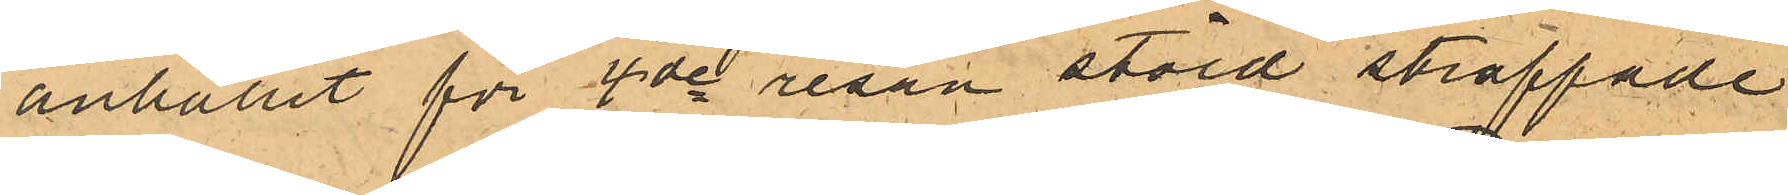anhållit för 4de resan stöld straffade
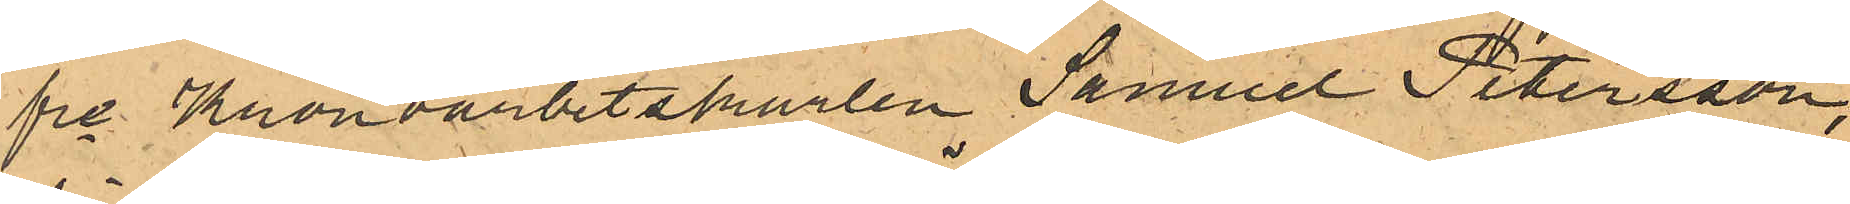fre Kronoarbetskarlen Samuel Petersson,
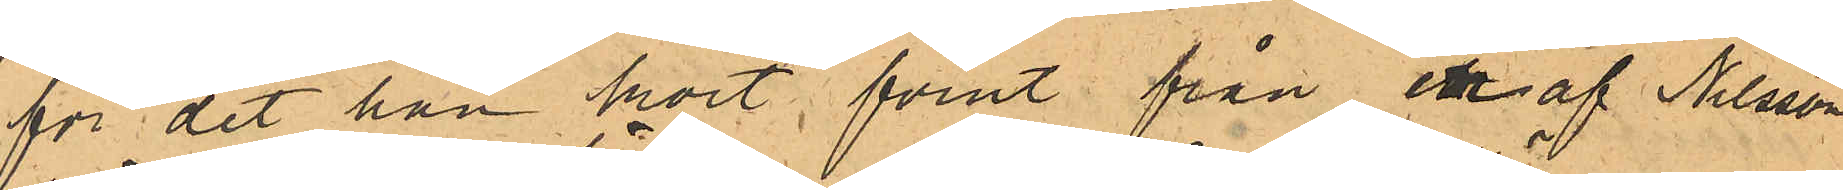för det han kort förut från en af Nilsson
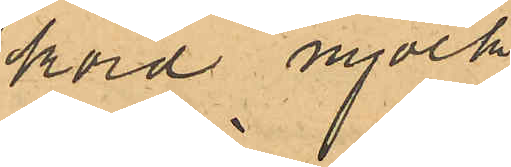körd mjölk
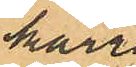kärra
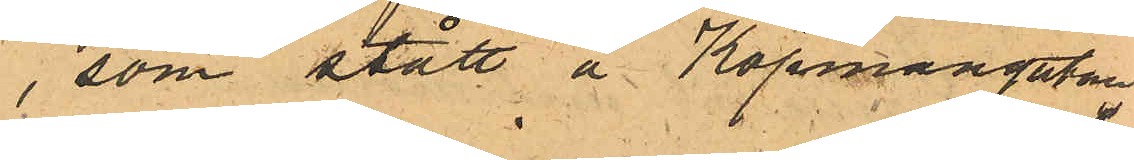, som stått å Köpmangatan,
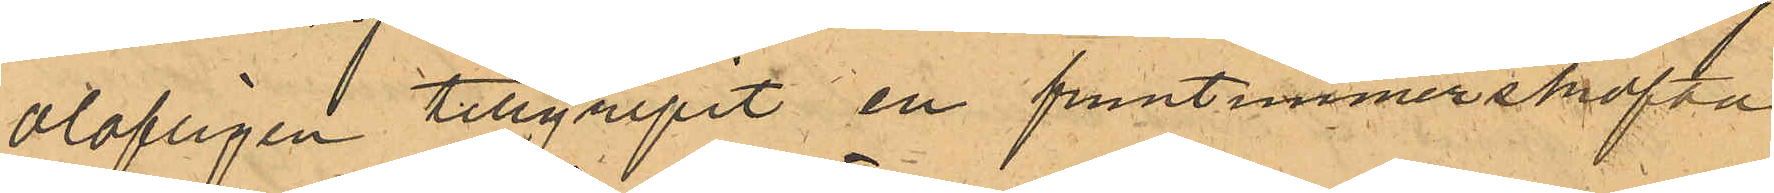olofligen tillgripit en fruntimmerskofta
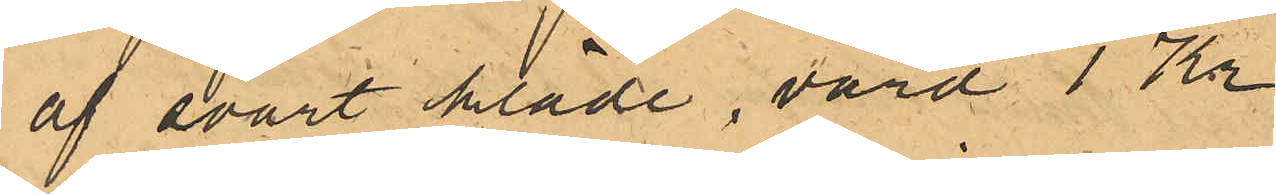af svart kläde, värd 1 Kr.
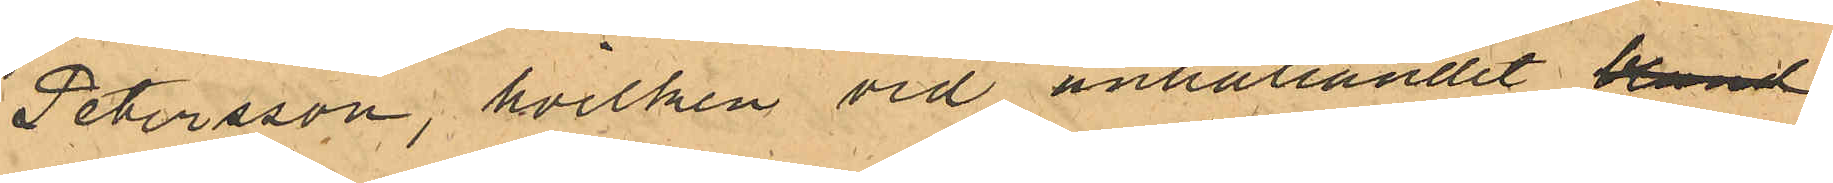Petersson, hvilken vid anhållandet bland
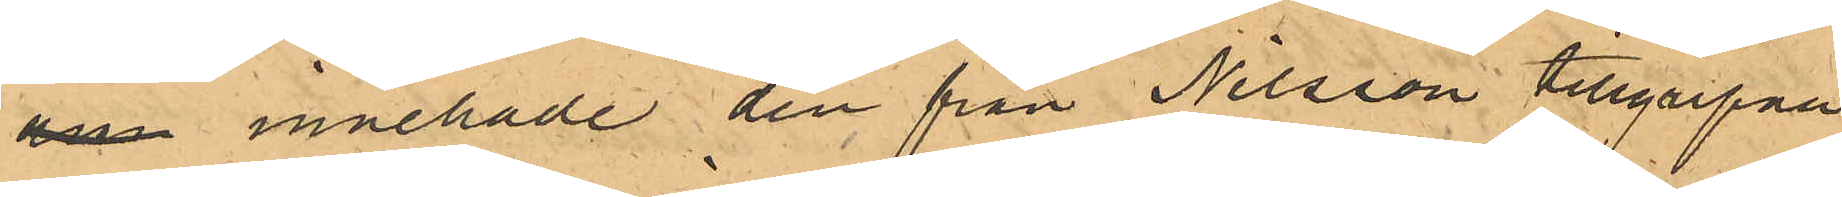an innehade den från Nilsson tillgripna
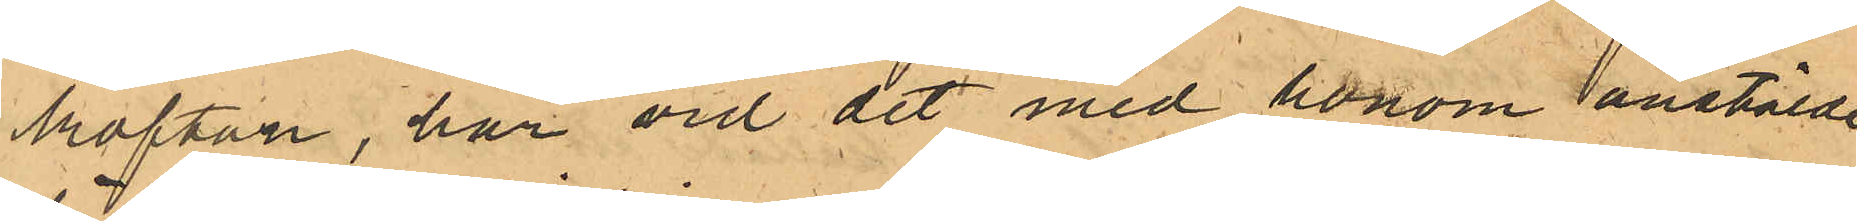koftan, har vid det med honom anstälde
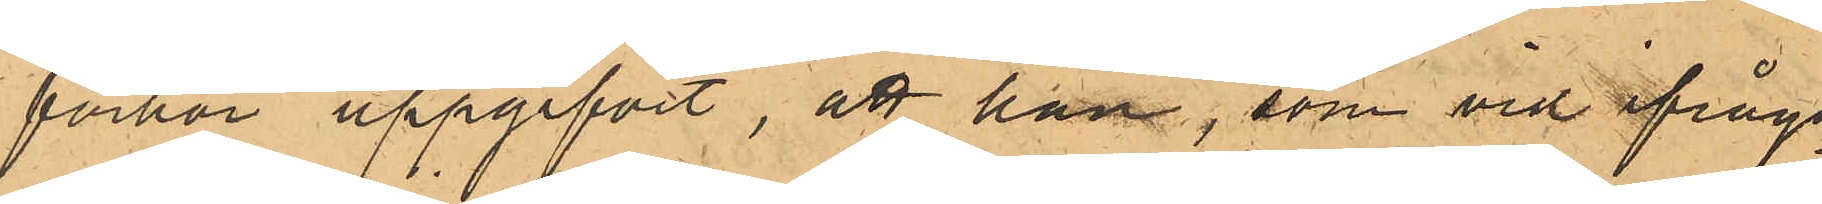förhör uppgifvit, att han, som vid ifråga¬
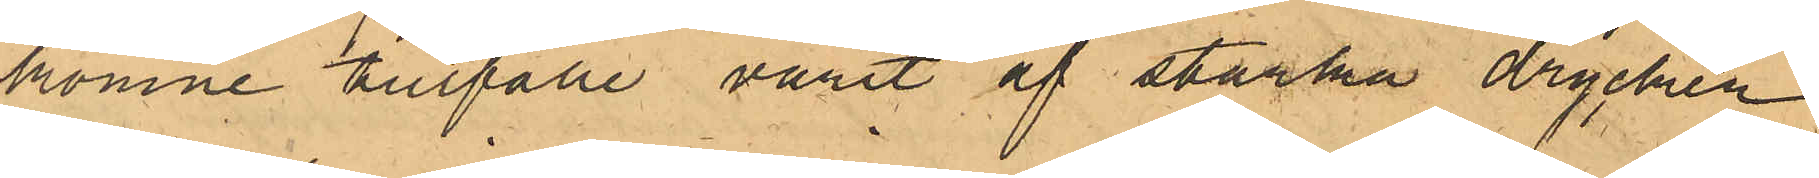komne tillfälle varit af starka drycker
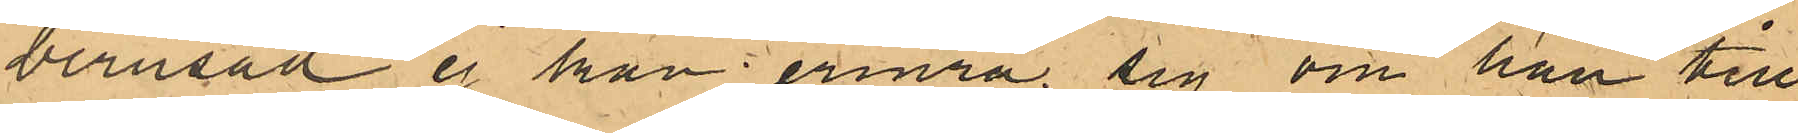berusad ej han erinra sig om han till¬
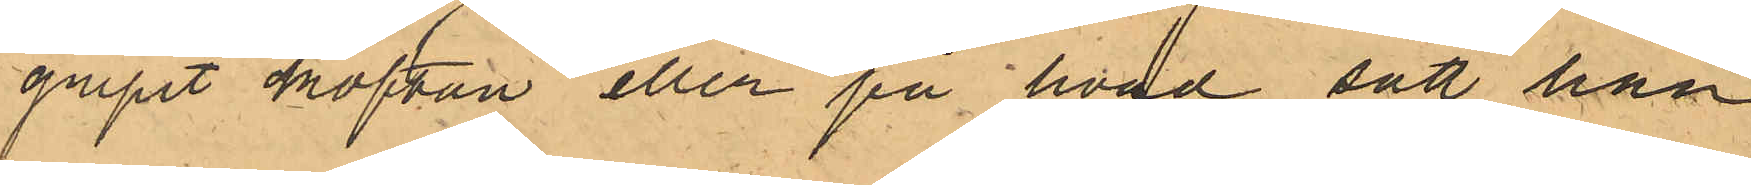gripit koftan eller på hvad sätt han
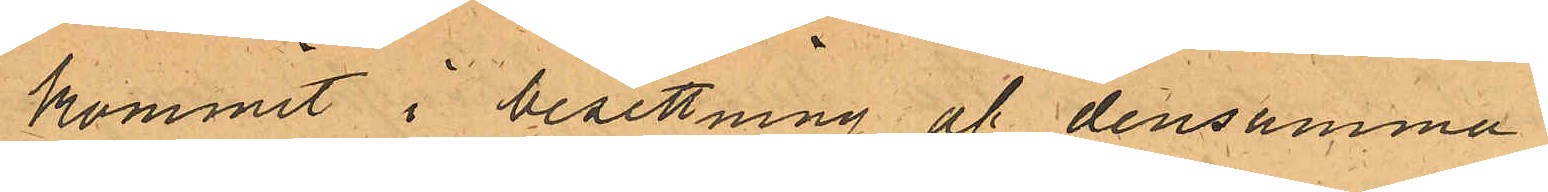kommit i besittning af densamma
